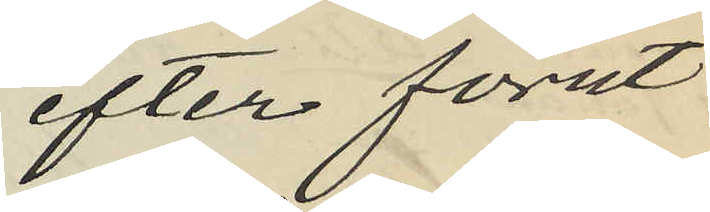efter förut
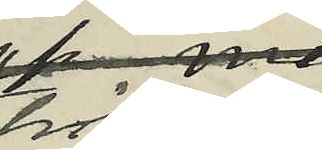träffad
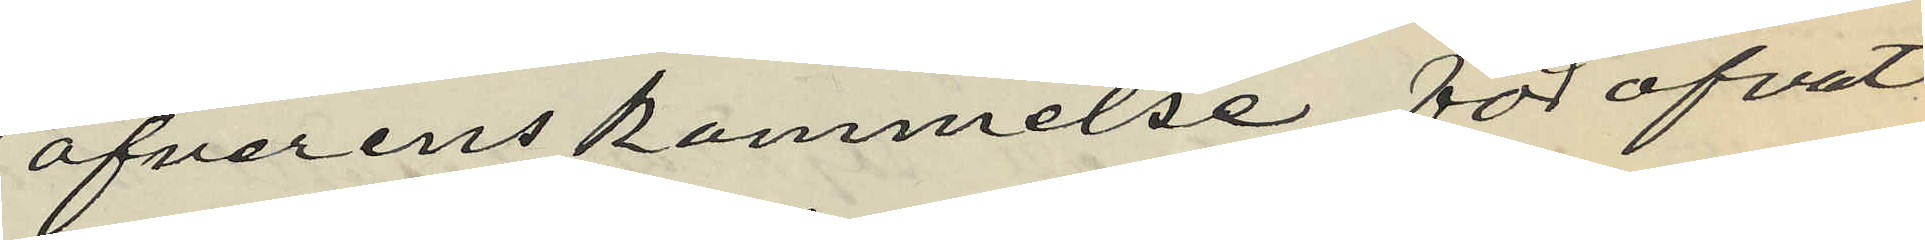öfverenskommelse föröfvat
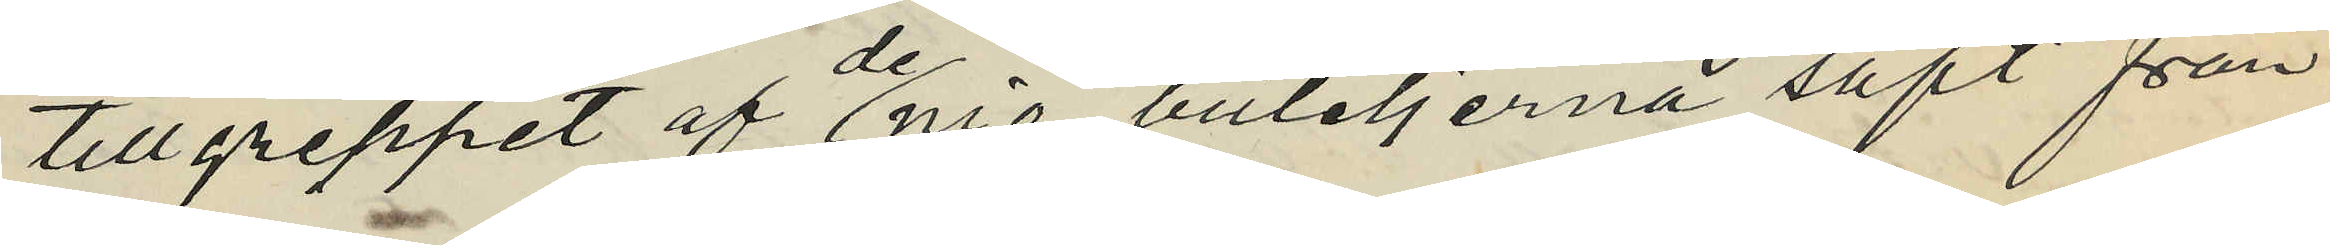tillgreppet af de nio buteljerna saft från
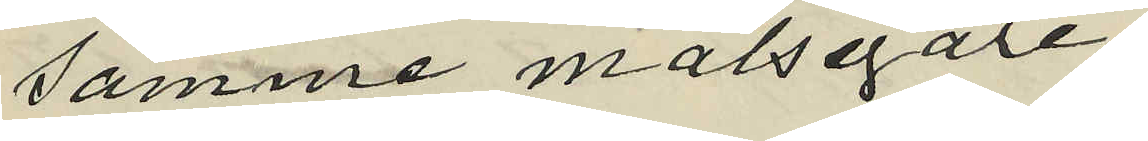samme målsegare;
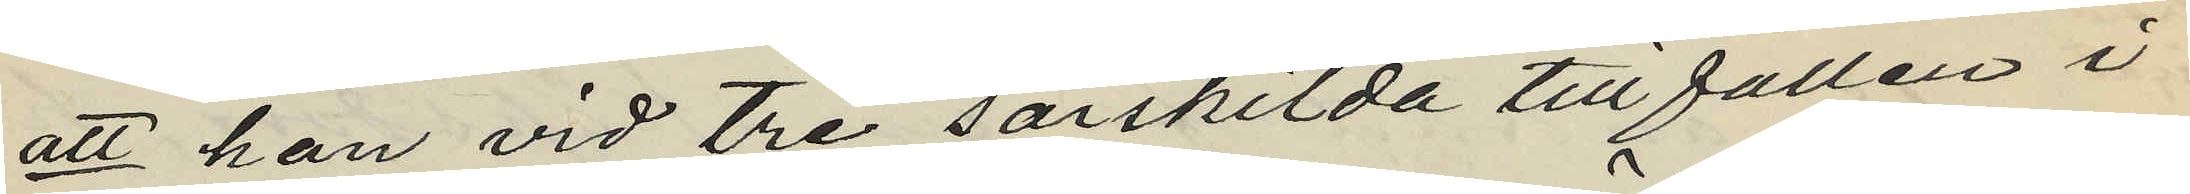att han vid tre särskilda tillfällen i
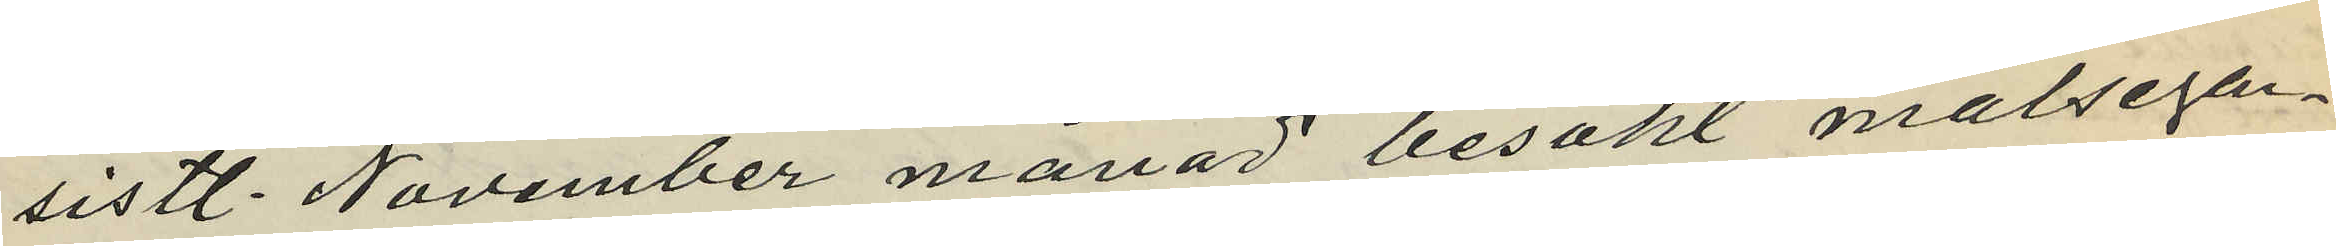sistl. November månad besökt målsegan¬
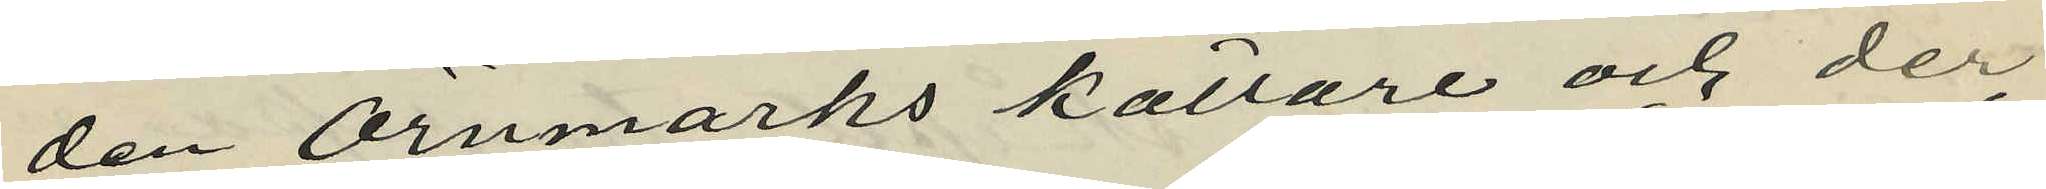den Örnmarks källare och der
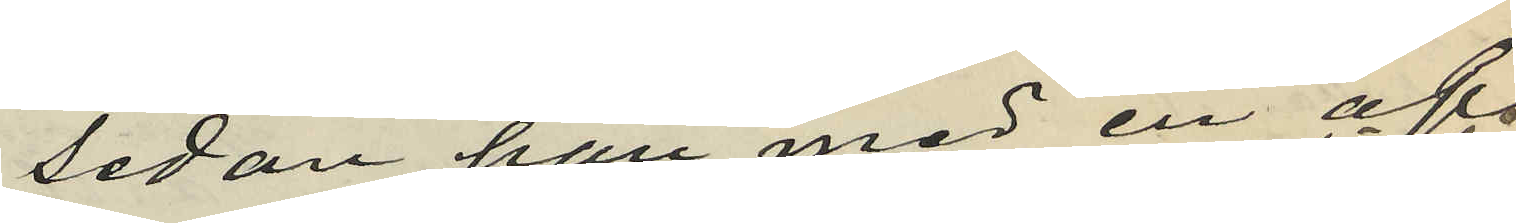sedan han med en af
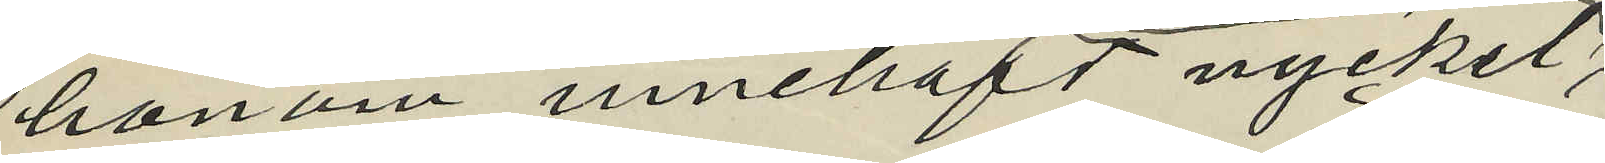honom innehafd nyckel;
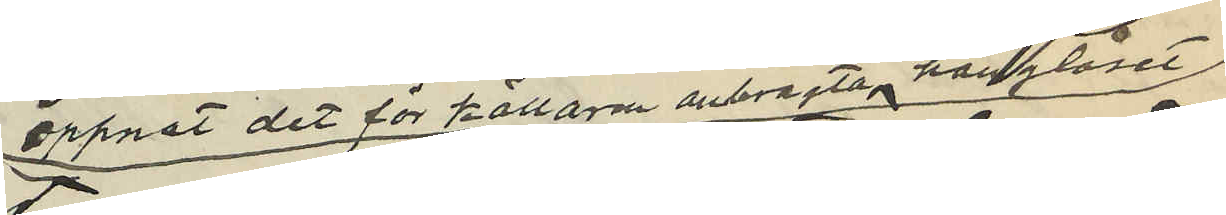öppnat det för källaren anbragta hänglåset
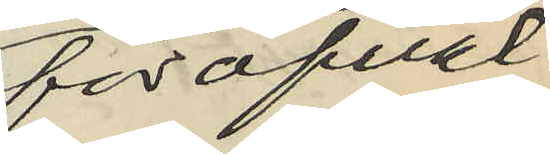föröfvat
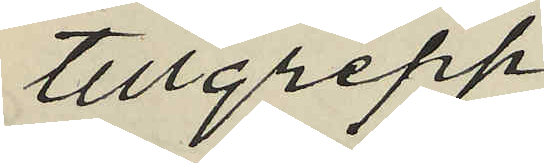tillgrepp;
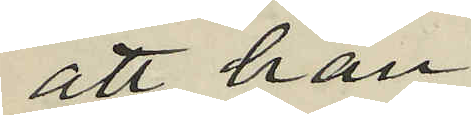att han
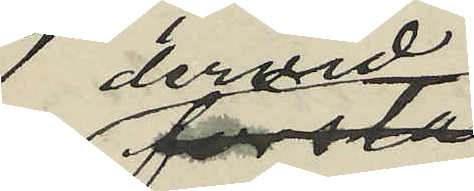dervid
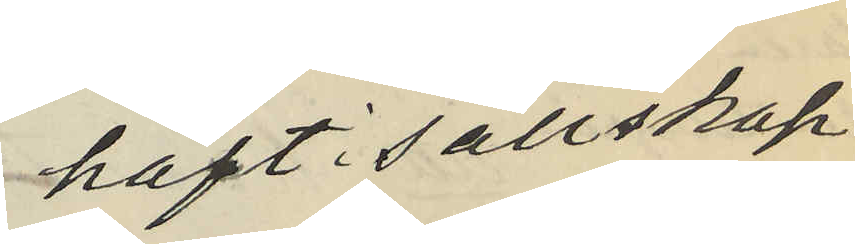haft i sällskap
